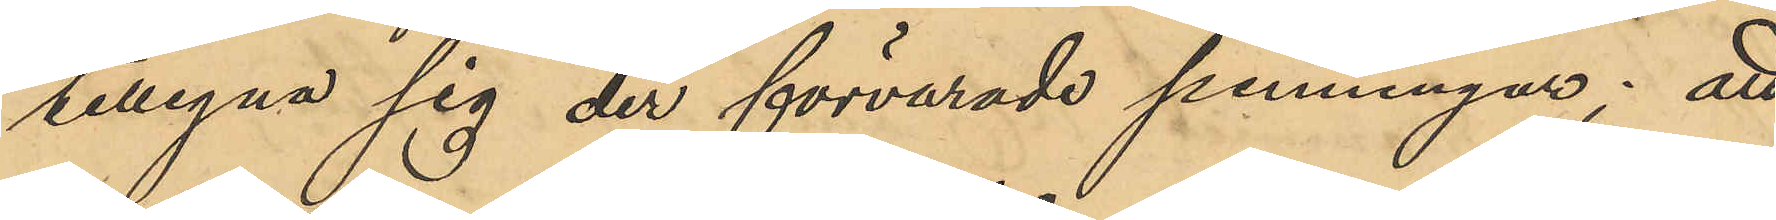tillegna sig der förvarade penningar; att
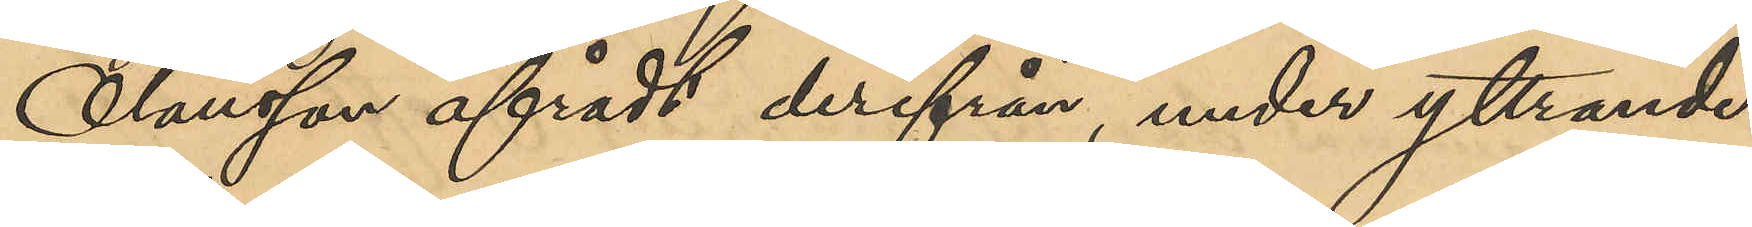Olausson afrådt derifrån, under yttrande
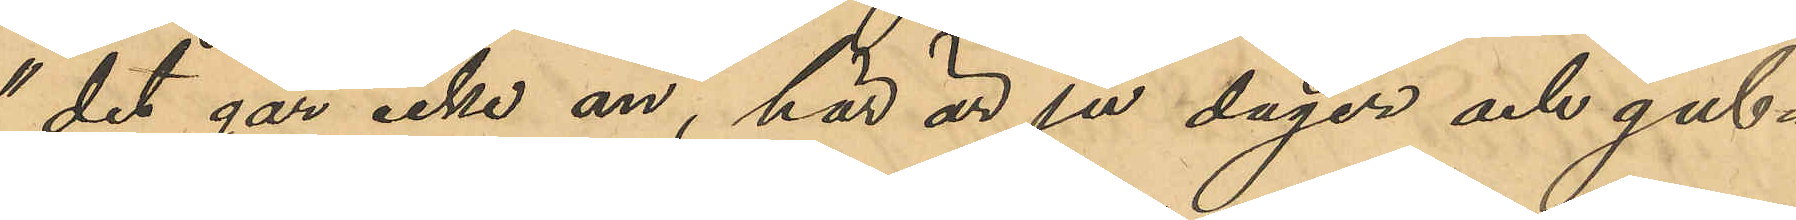"det går icke an, här är ju dager och gub¬
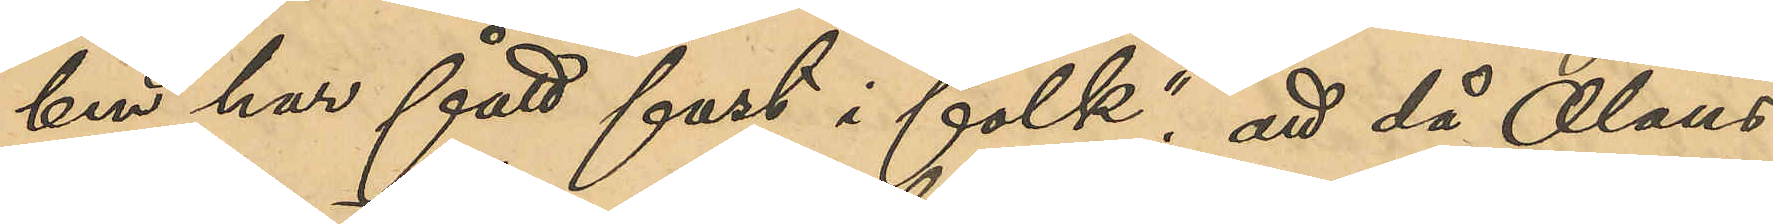ben har fått fast i folk"; att då Olaus¬
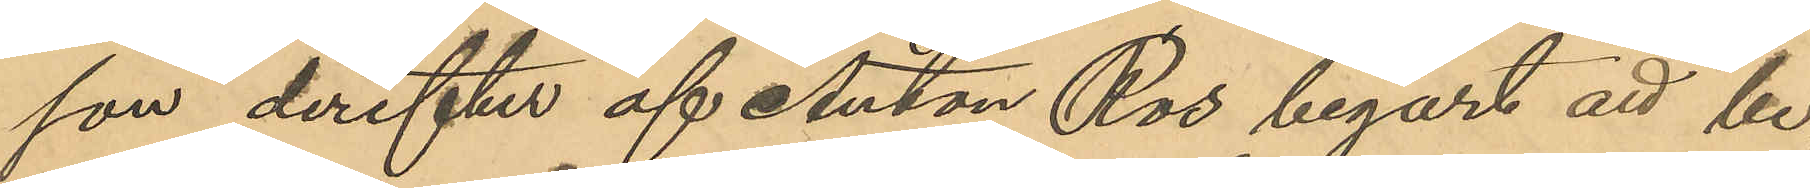son derefter af Anton Ros begärt att be¬
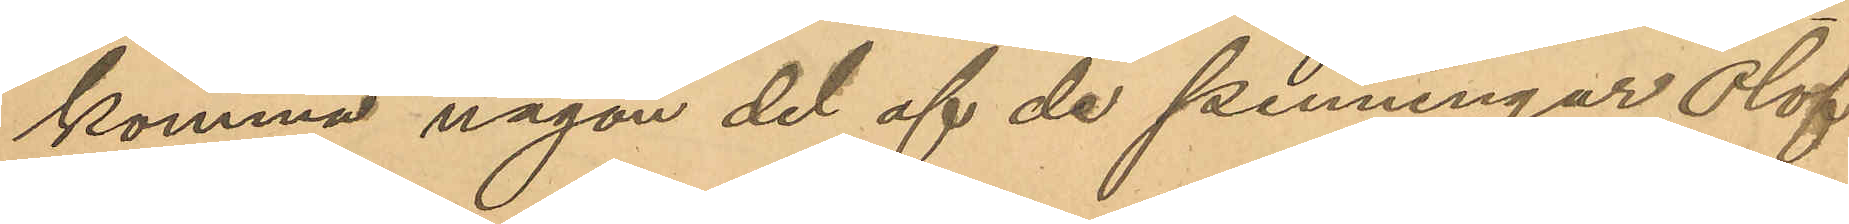komma någon del af de penningar Olof
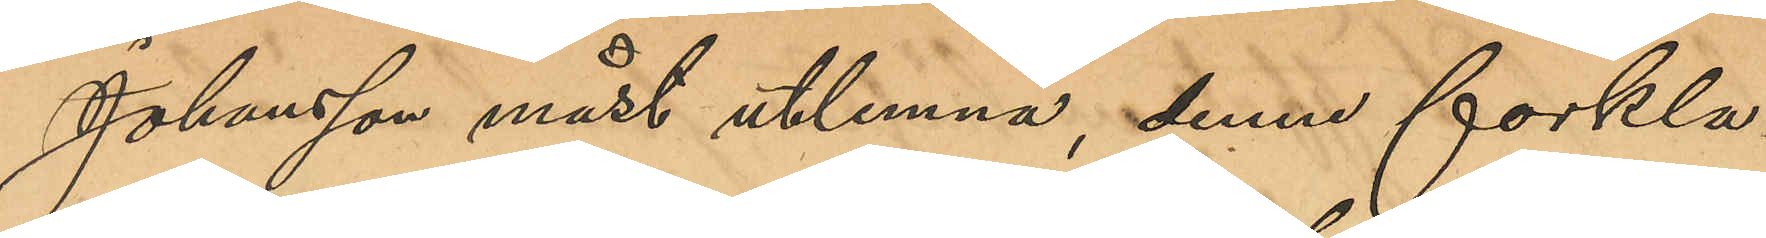Johansson måst utlemna, denne förkla¬
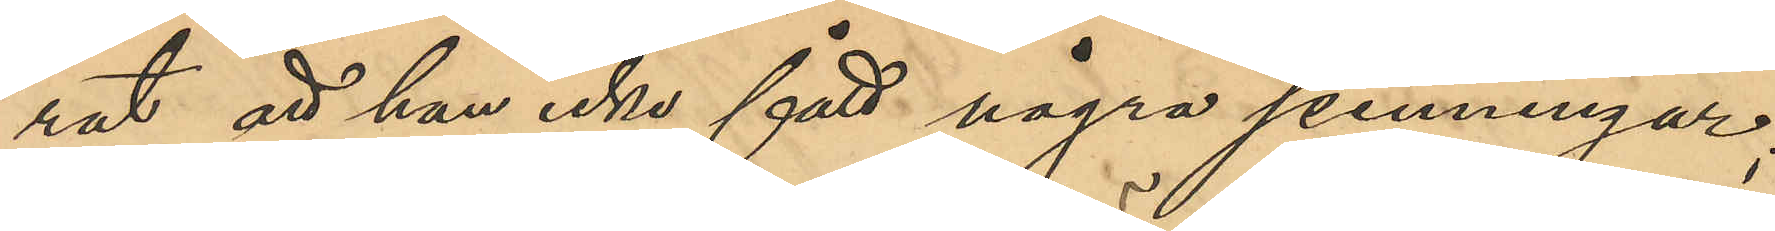rat att han icke fått några penningar;
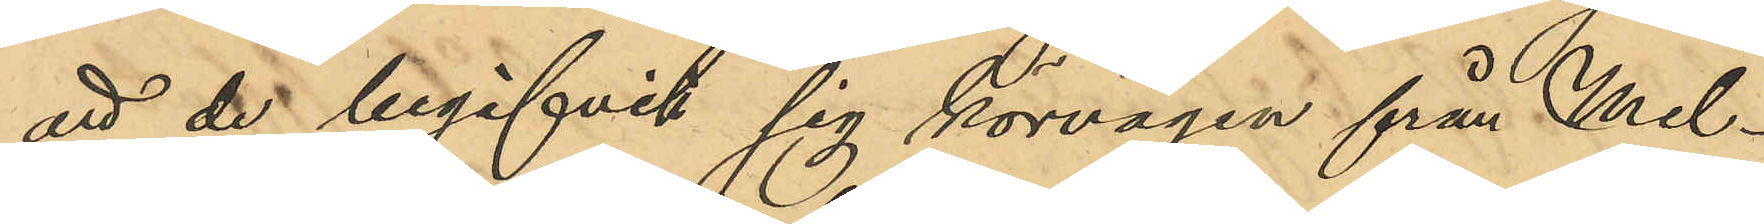att de begifvit sig körvägen från Mel¬
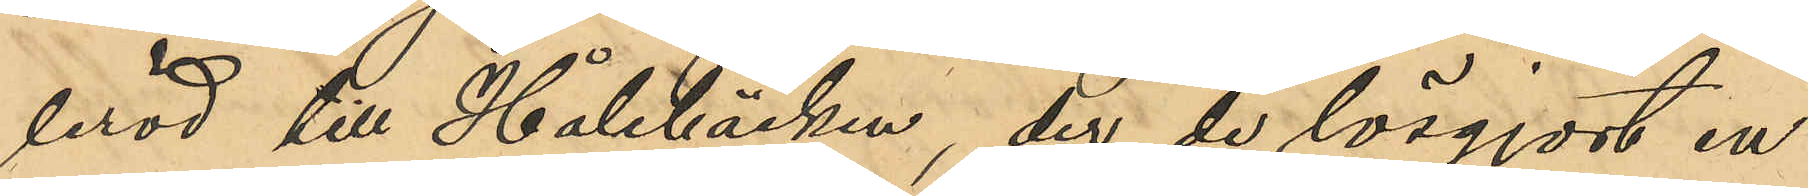leröd till Hålebäcken, der de lösgjort en
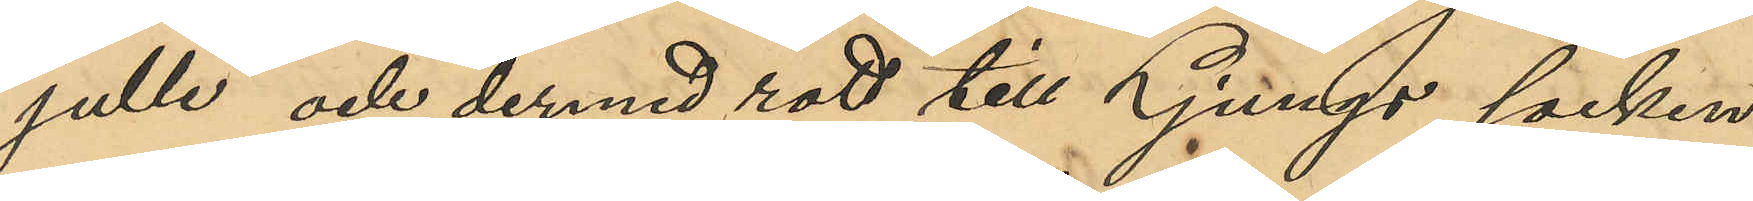"julle" och dermed rott till Ljungs socken
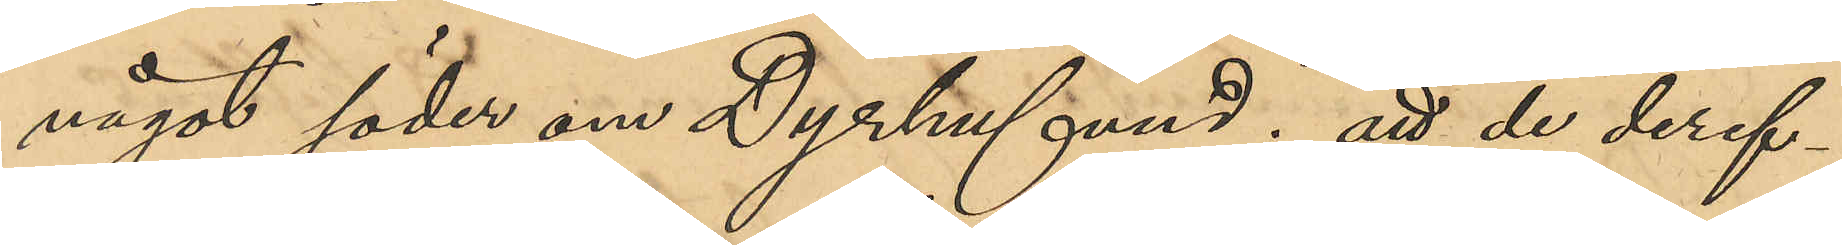något söder om Dyrhufvud; att de deref¬
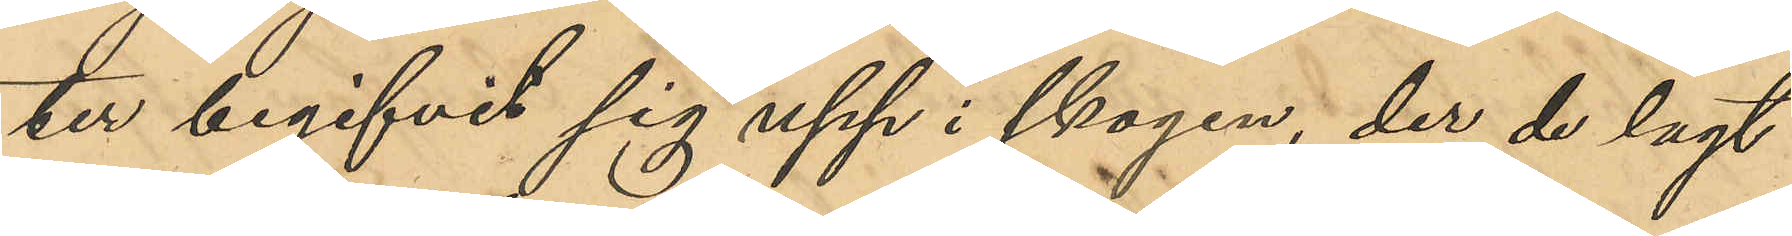ter begifvit sig upp i skogen, der de lagt
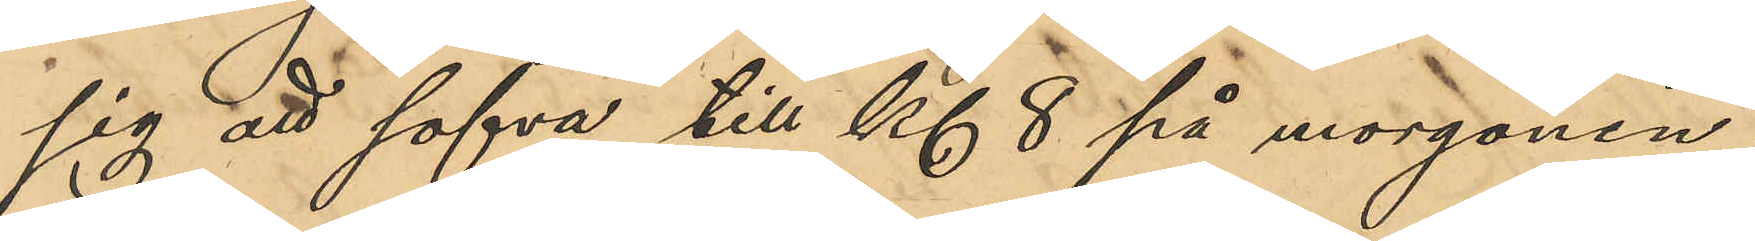sig att sofva till Kl 8 på morgonen;
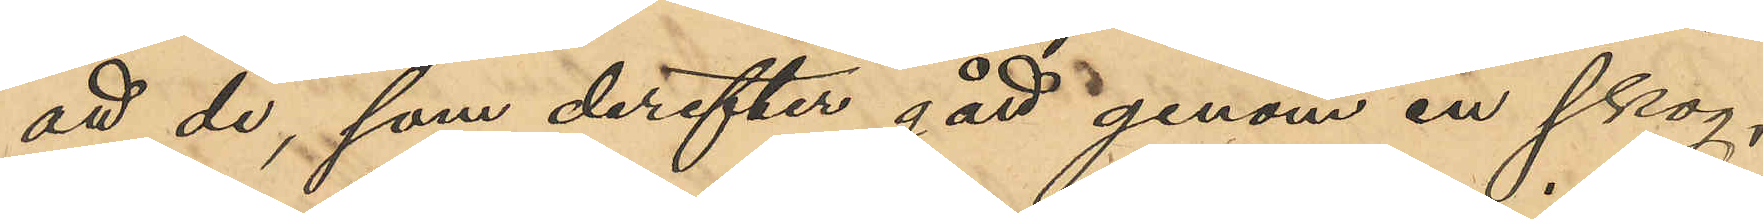att de, som derefter gått genom en skog,
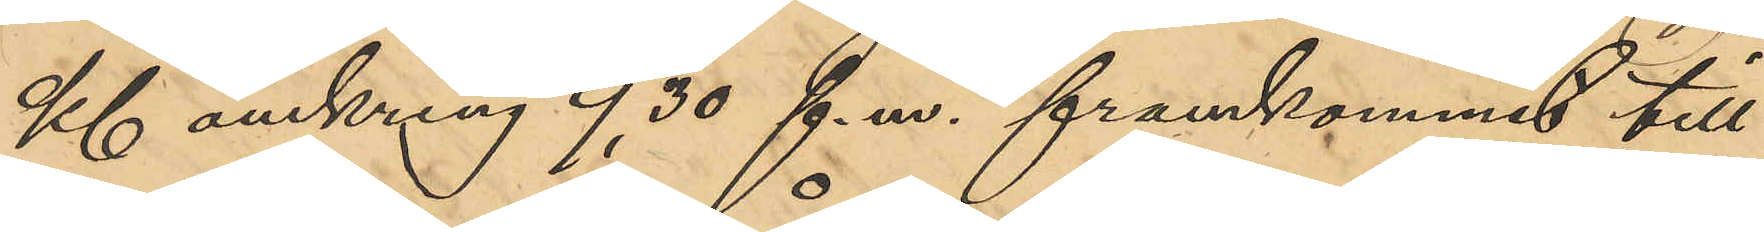Kl omkring 9,30 f. m. framkommit till
